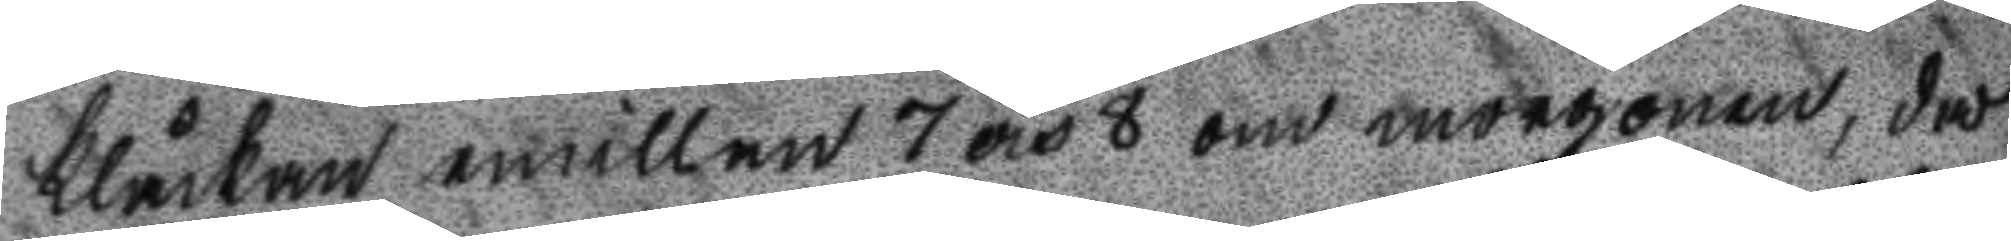klåckan emillan 7 och 8 om morgonen, då
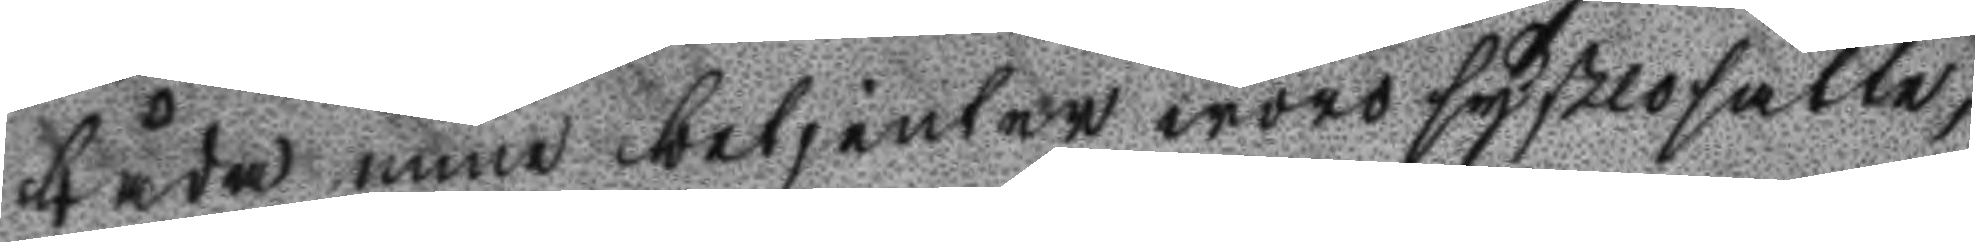båda mina betjenter woro syßlosatte,
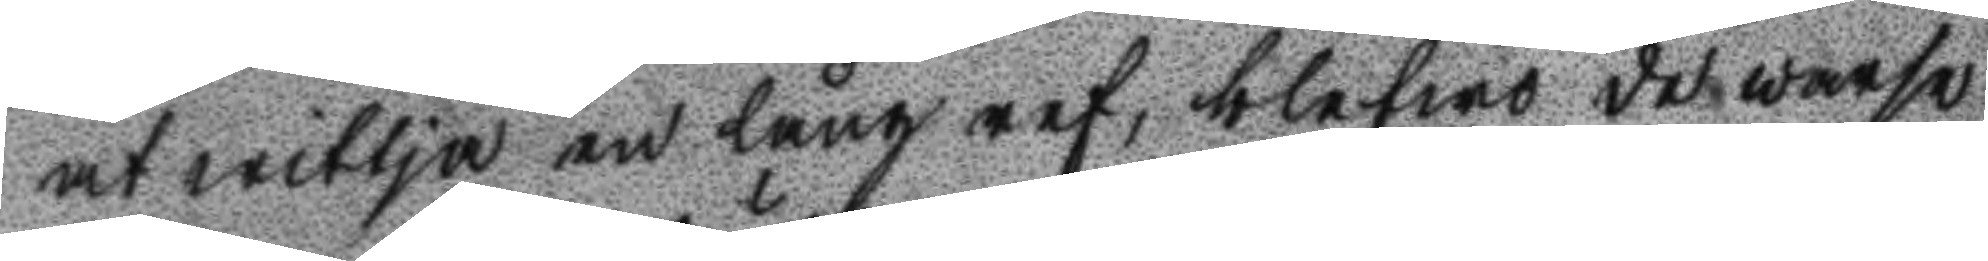at witja em lång ref, blefwo de warse
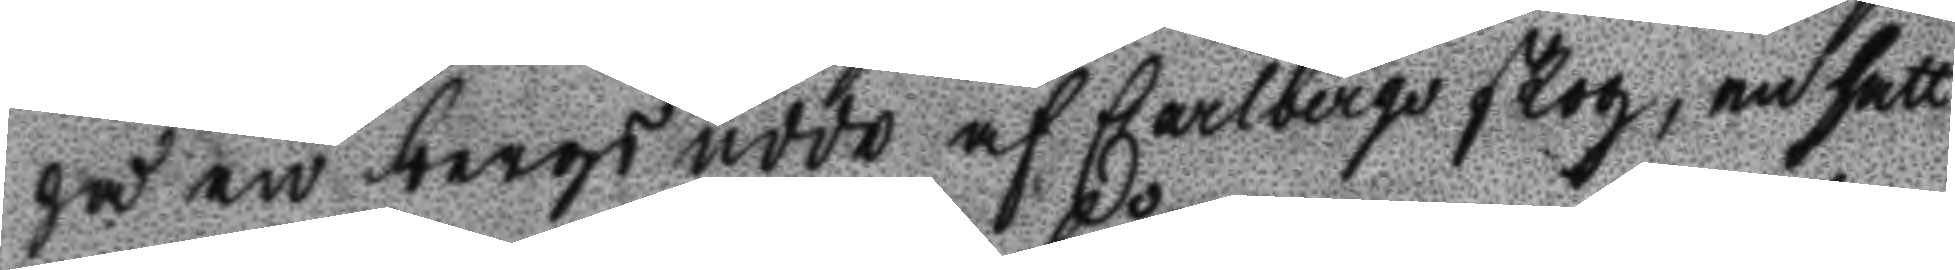på en bergs udde af Carlbergs skog, en hatt
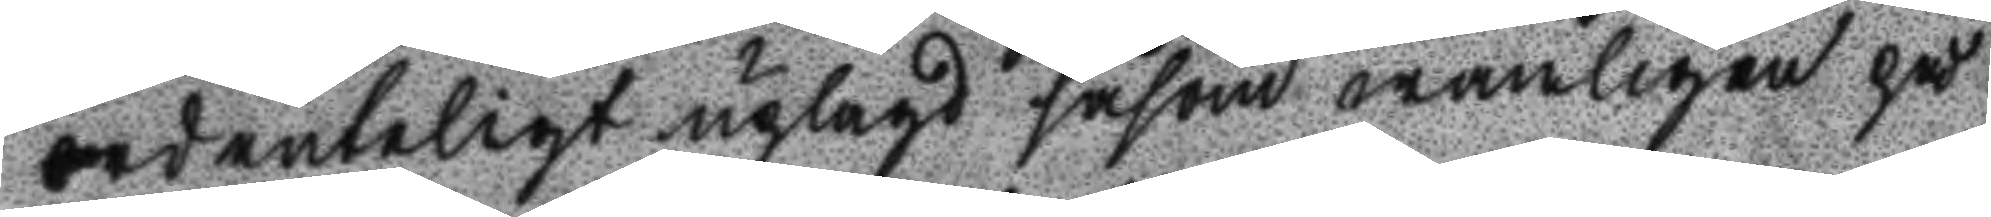ordenteligt uplagd såsom wanligen på
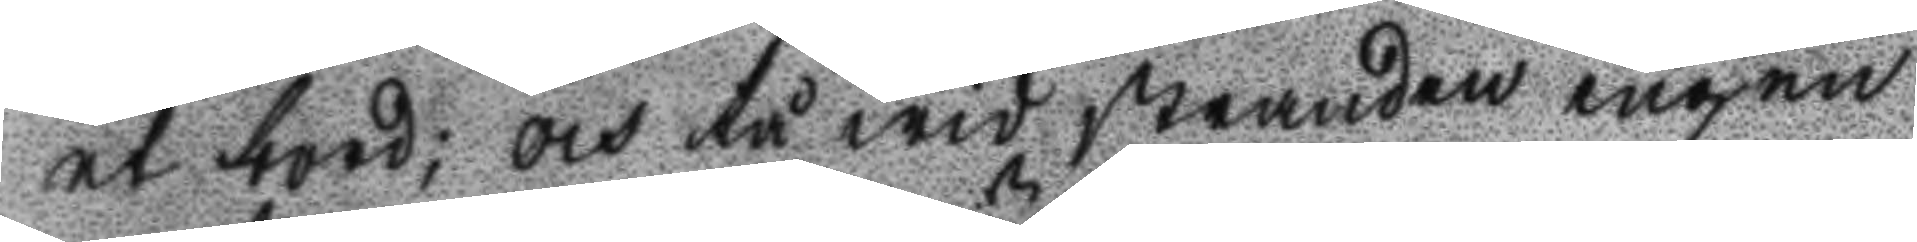et bord; och tå wid stranden ingen
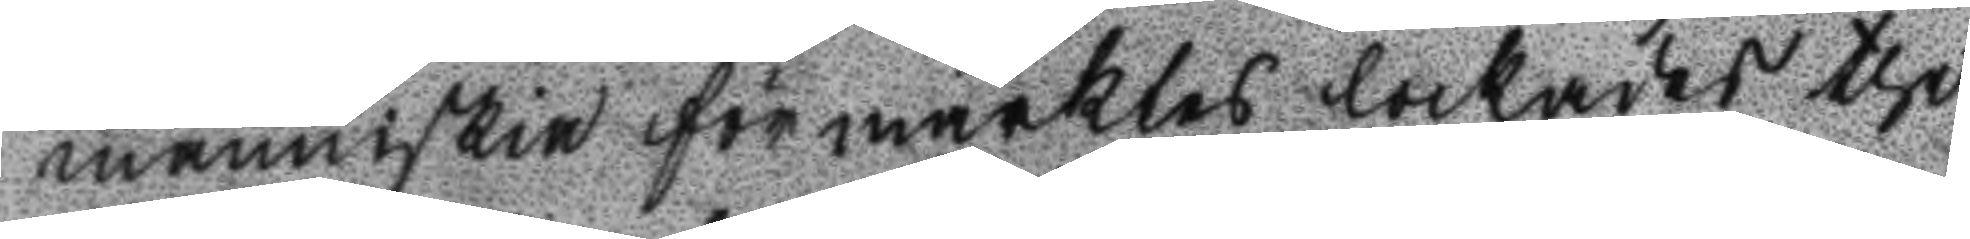människia förmärktes lockades the
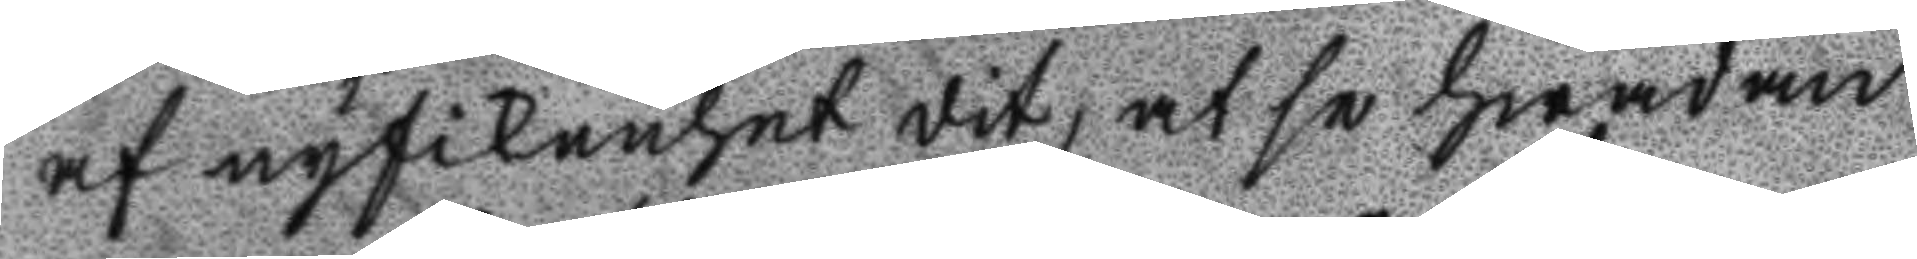af nyfikenhet dit, at se hwadan
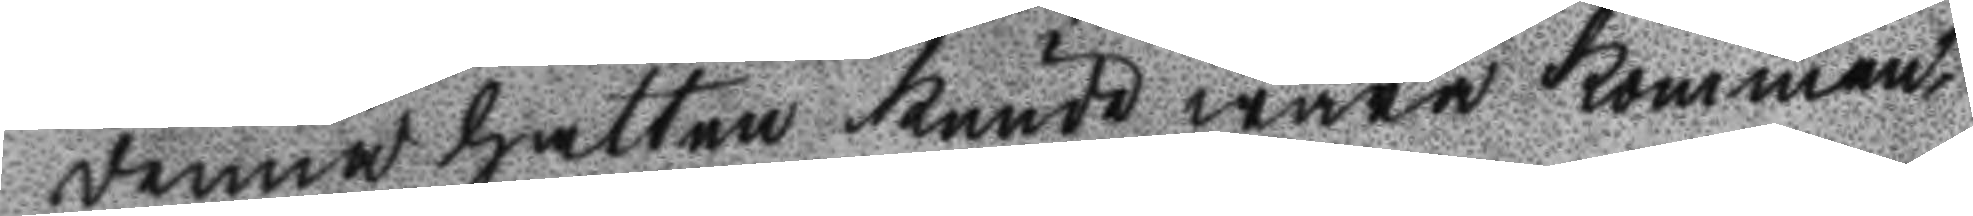denna hatten kunde wara kommen
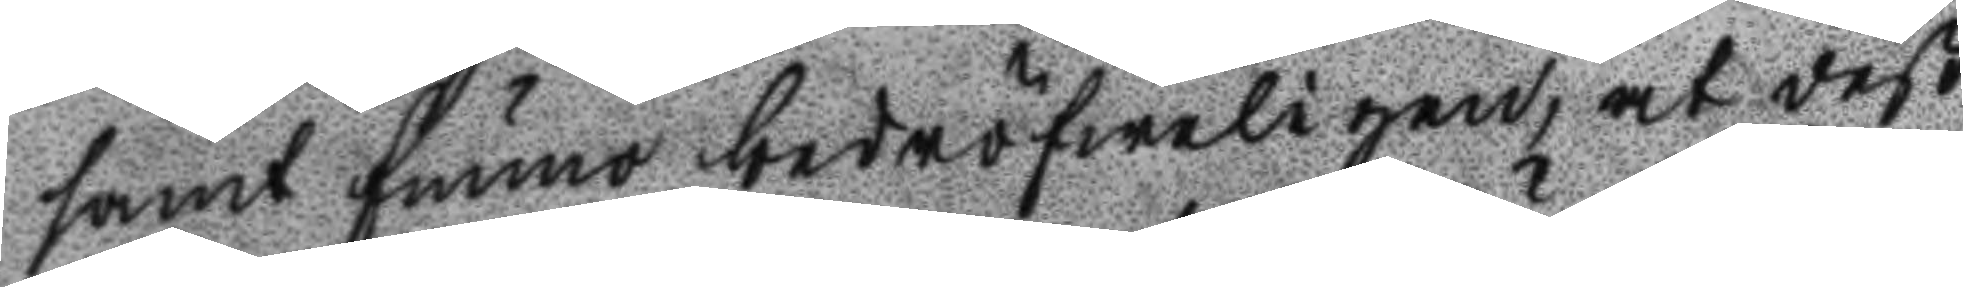samt funno bedröfweligen, at deß
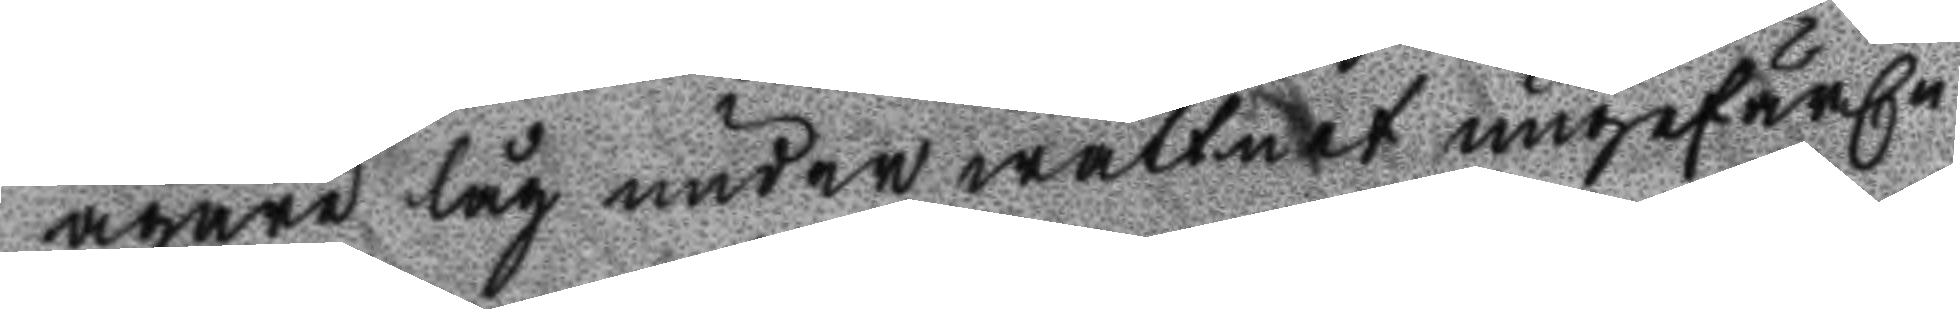ägare låg under wattnet ungefärln
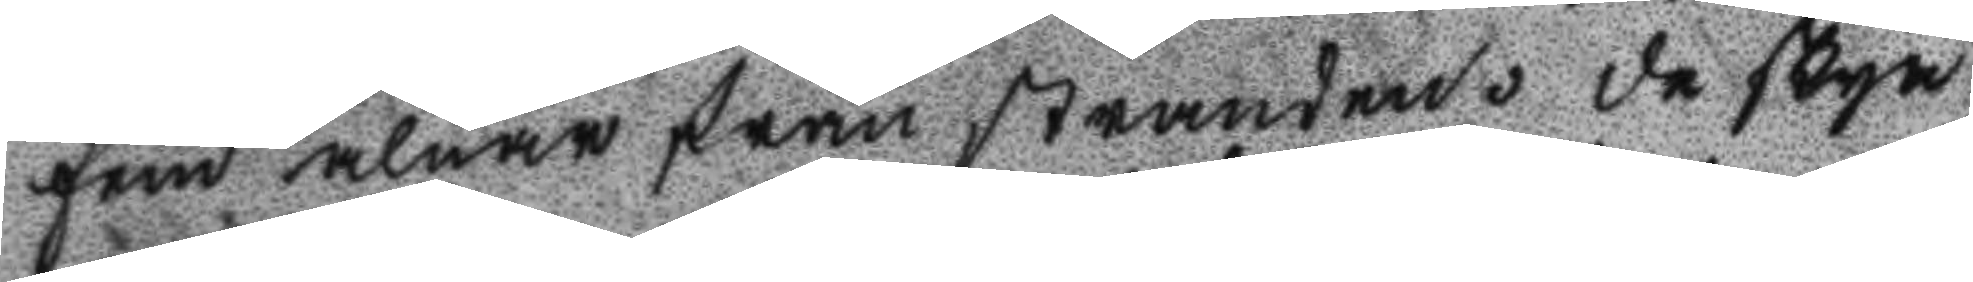fem alnar från stranden. De skyn
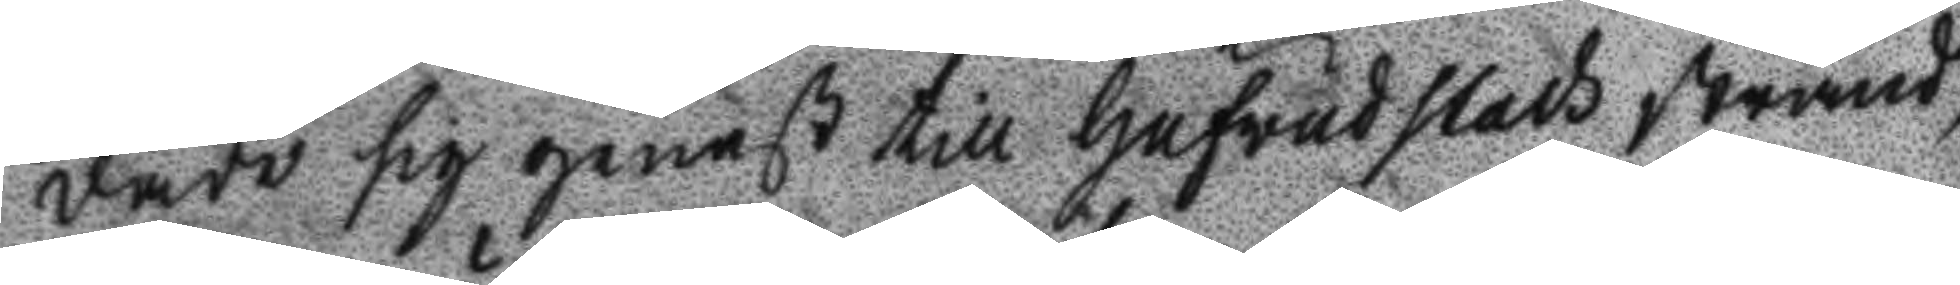dade sig genast till hufwudstads strand,
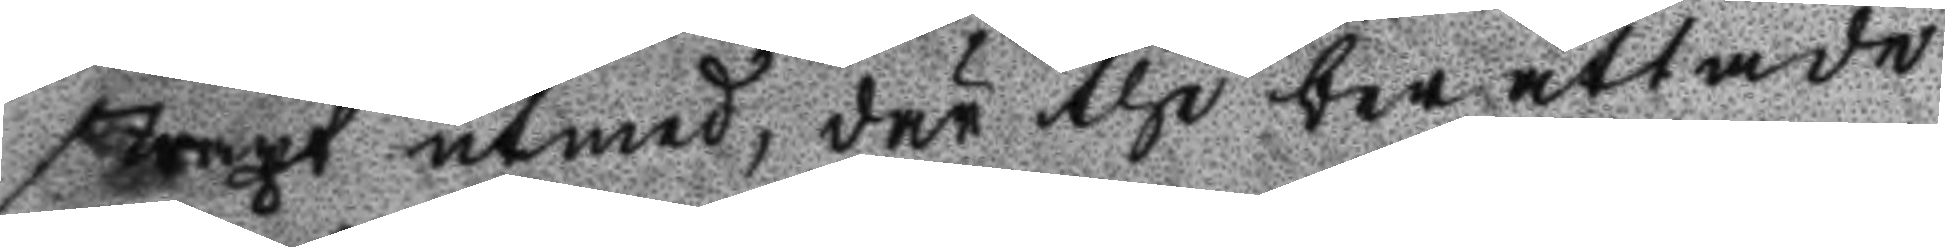straxt åstad, där the berättade
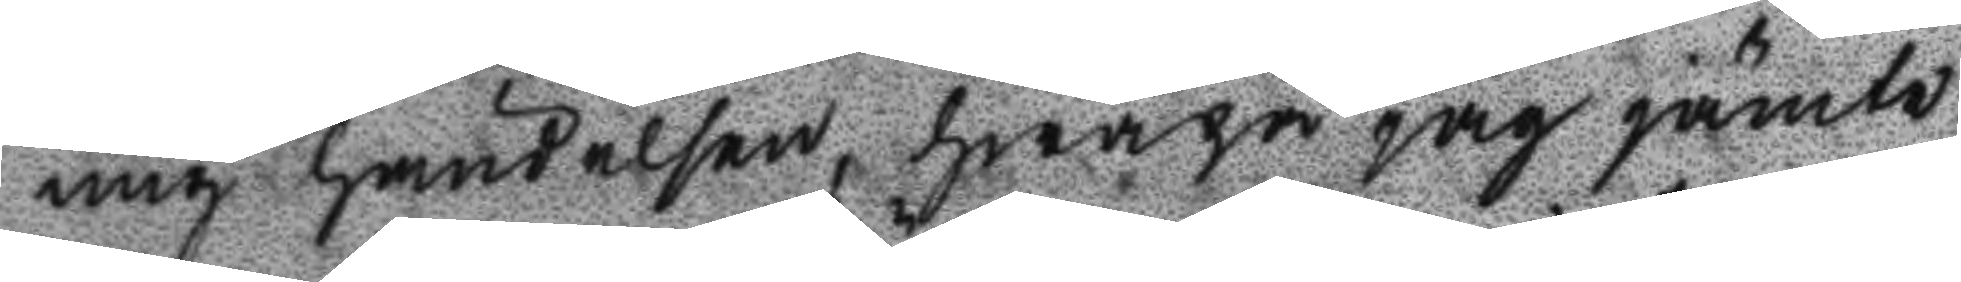mig händelsen, hwarpå jag jämte
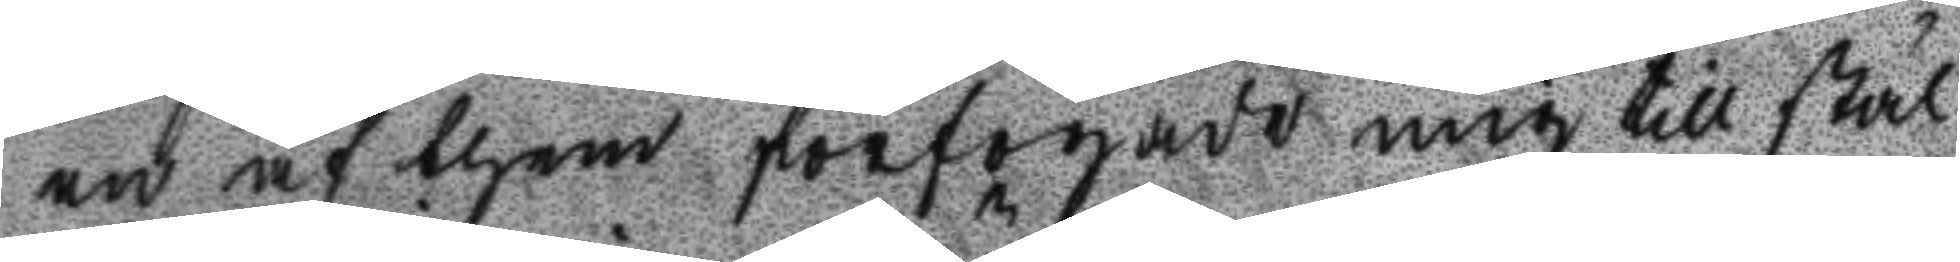en af them förfogade mig till stäl
